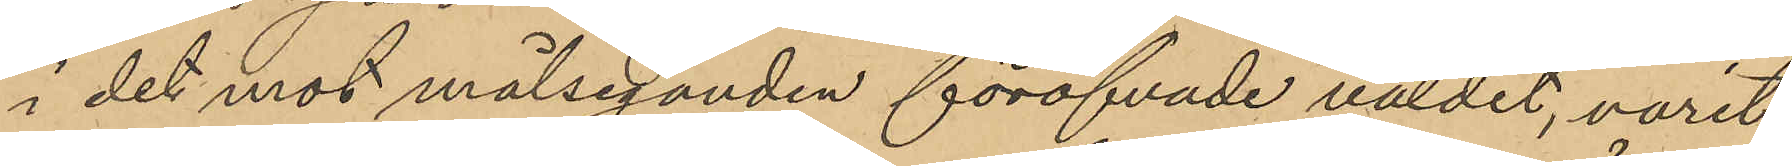i det mot målseganden föröfvade våldet, varit
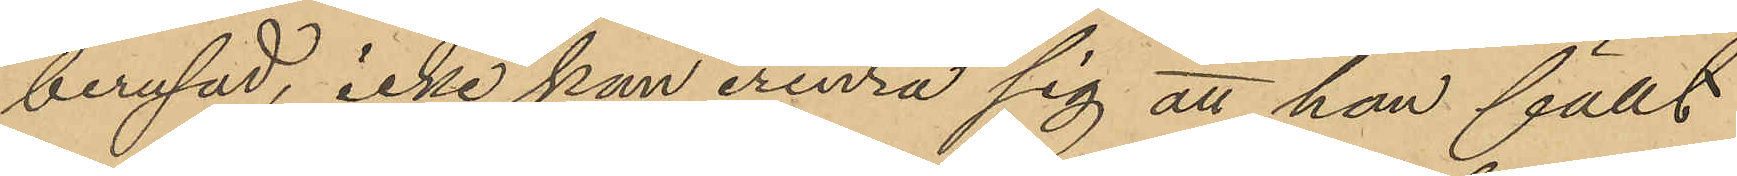berusad, icke kan erinra sig att han fällt
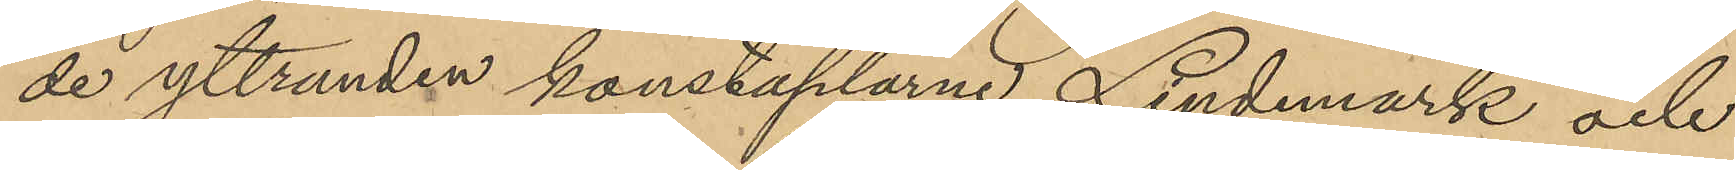de yttranden konstaplarne Lindmark och
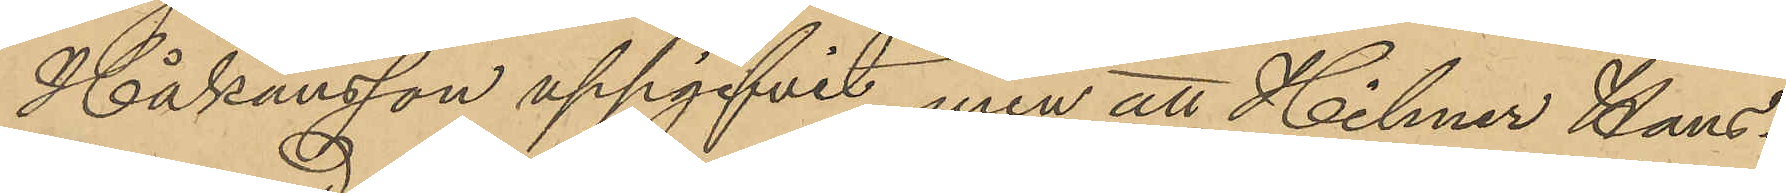Håkansson uppgifvit men att Hilmer Hans¬
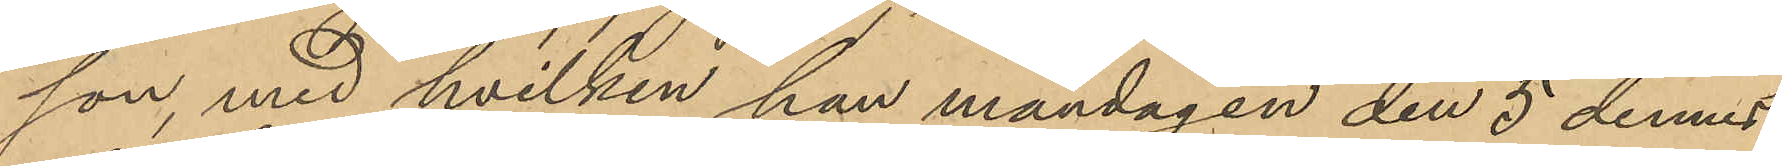son, med hvilken han måndagen den 5 dennes
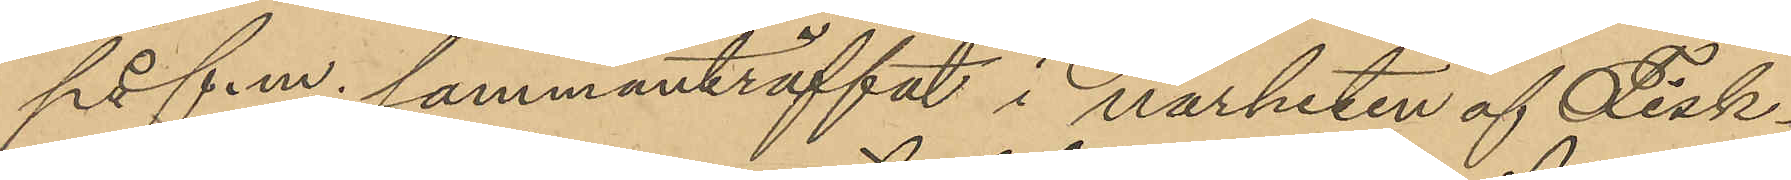på f.m. sammanträffat i närheten af Fisk¬
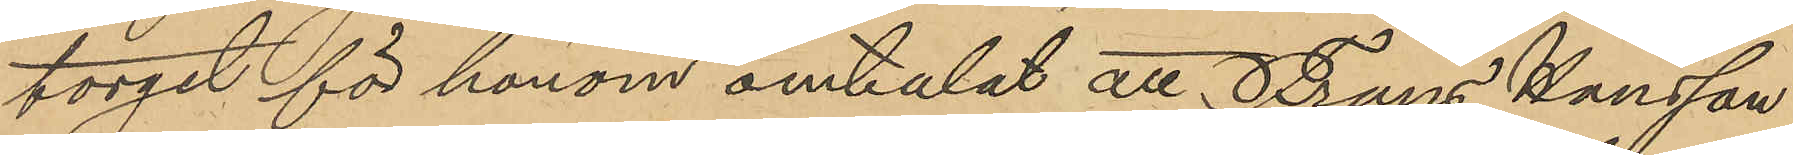torget för honom omtalat att Frans Hansson
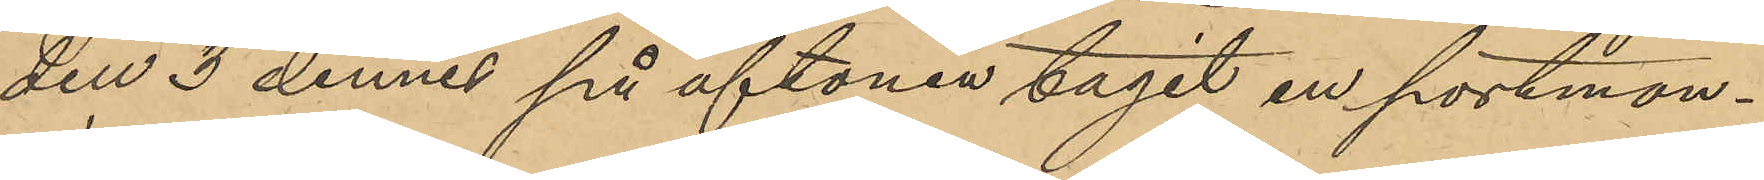den 3 dennes på aftonen tagit en portmon¬
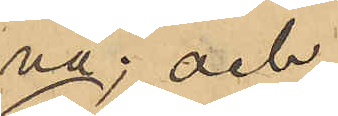nä; och
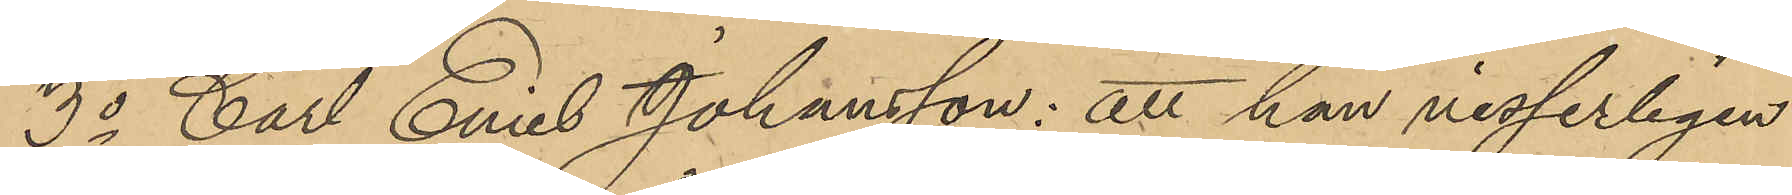3o Carl Emiel Johansson: att han visserligen
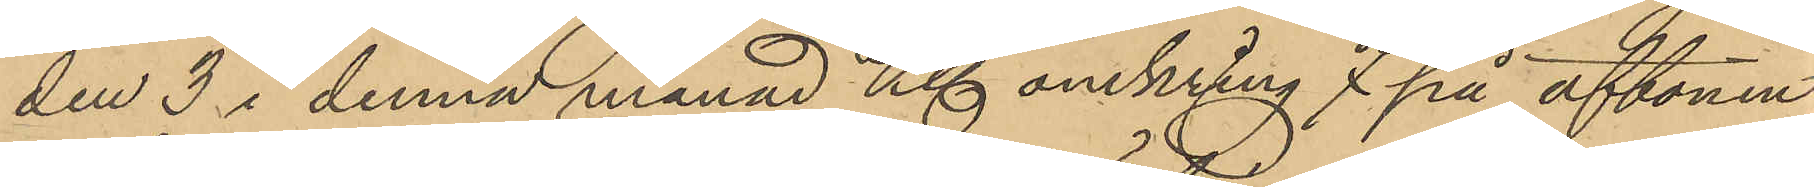den 3 i denna månad Kl omkring 7 på aftonen
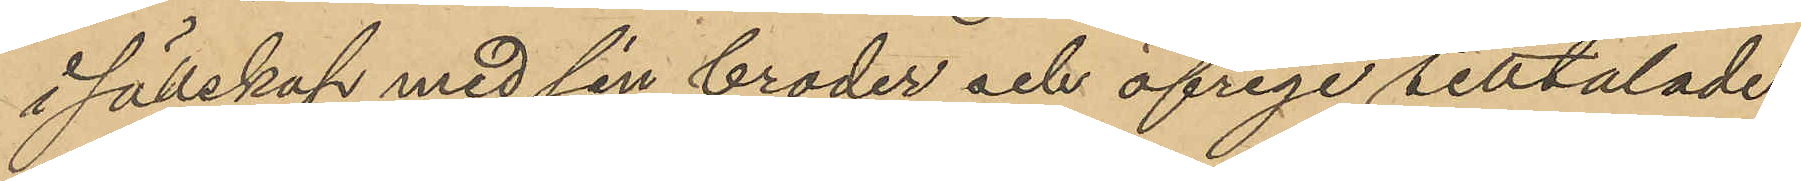i sällskap med sin broder och öfrige tilltalade
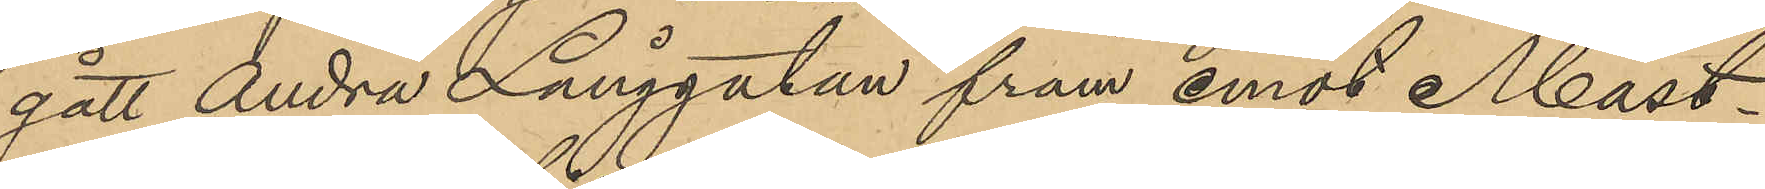gått Andra Långgatan fram emot Mast¬
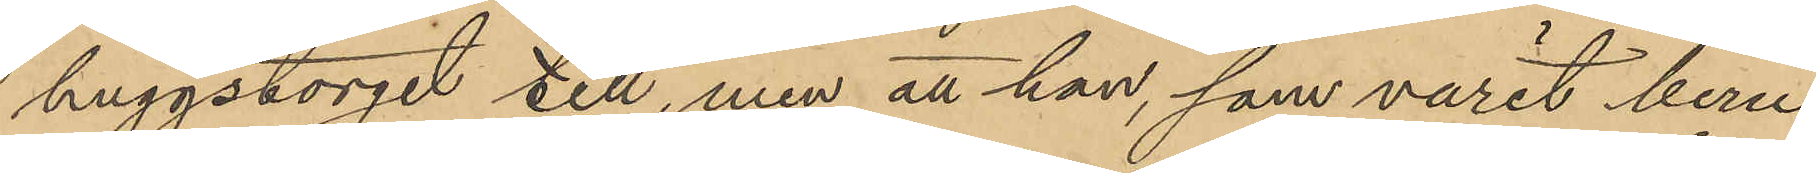huggstorget till, men att han, som varit beru¬
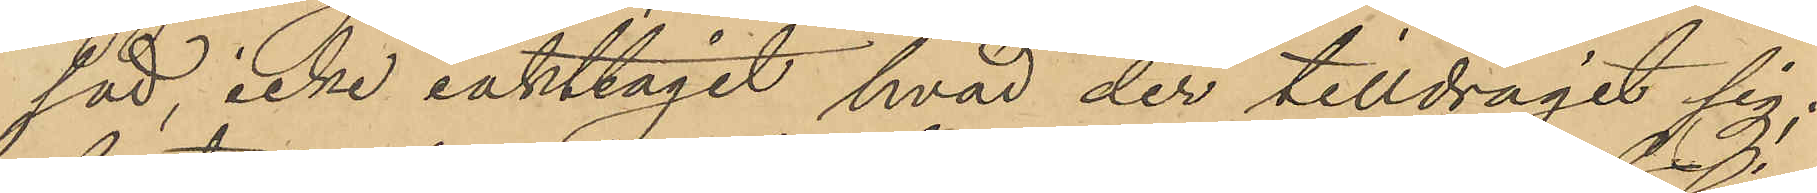sad, icke iakttagit hvad der tilldragit sig;
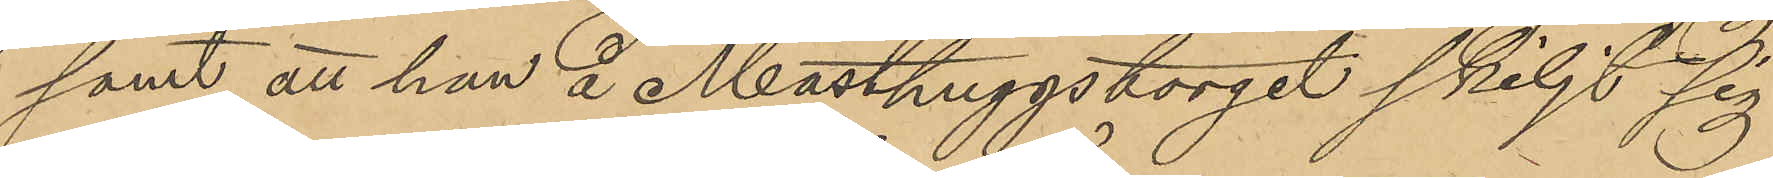samt att han å Masthuggstorget skiljt sig
